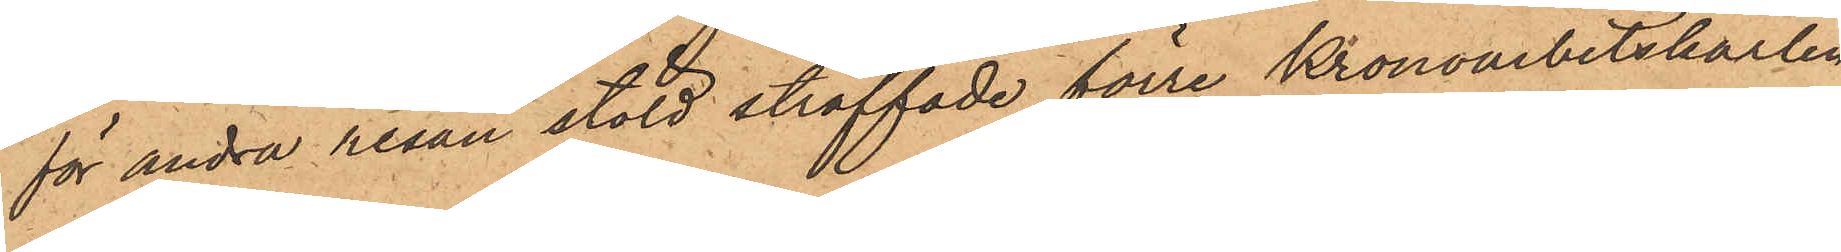för andra resan stöld straffade förre Kronoarbetskarlen
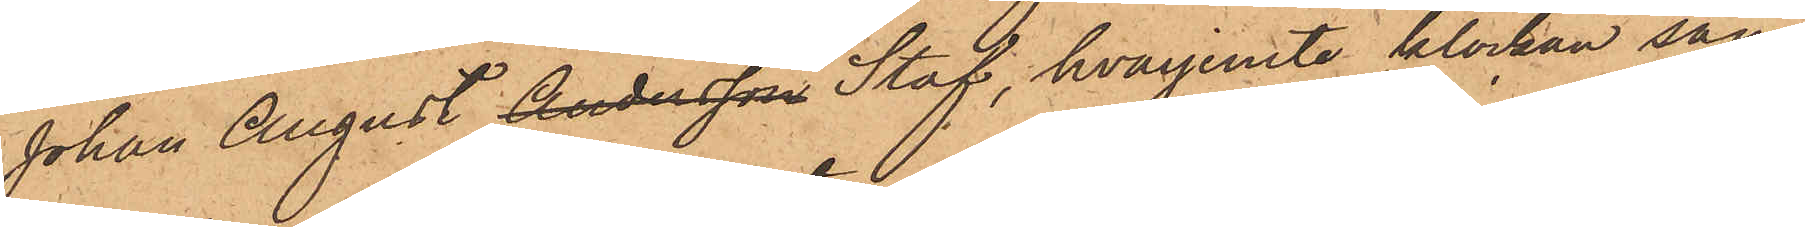Johan August Andersson Staf, hvarjemte klockan sam¬
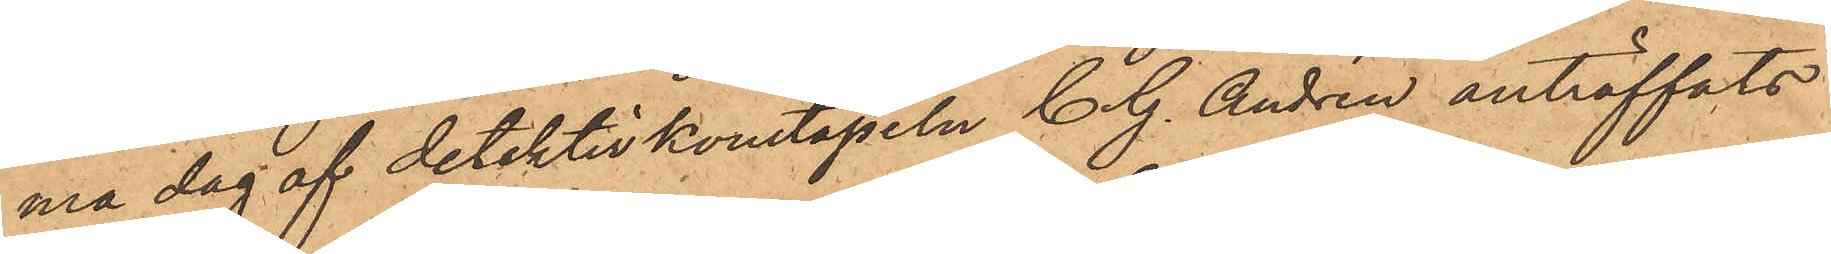ma dag af detektivkonstapeln C. G. Andrén anträffats
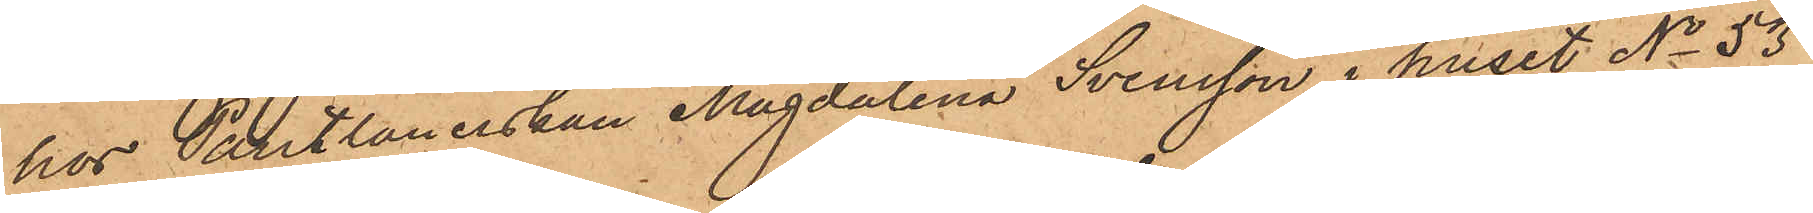hos Pantlånerskan Magdalena Svensson i huset No 53
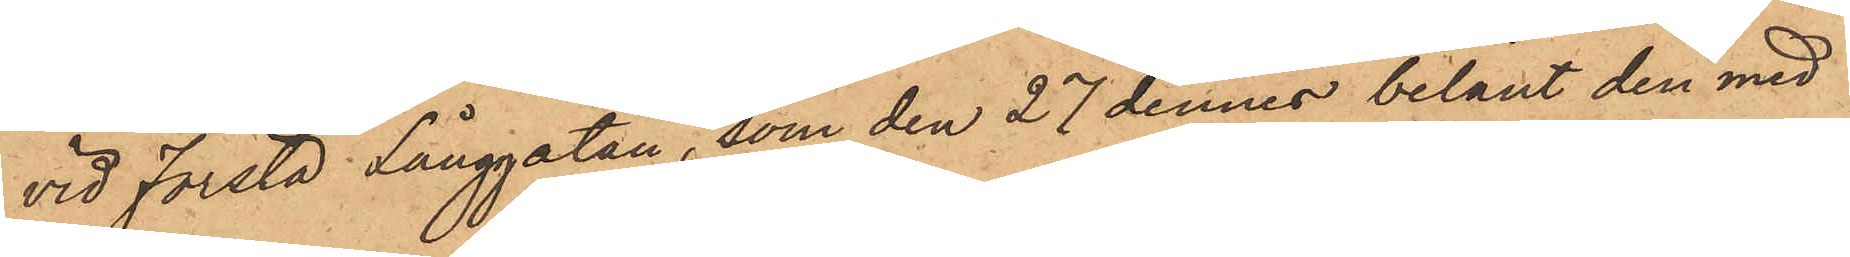vid första Långgatan, som den 27 dennes belånt den med
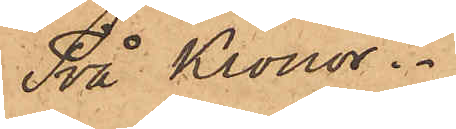Två Kronor.
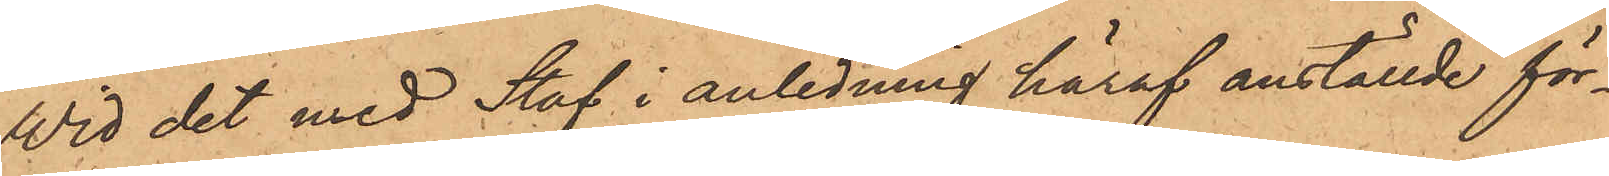Wid det med Staf i anledning häraf anställde för¬
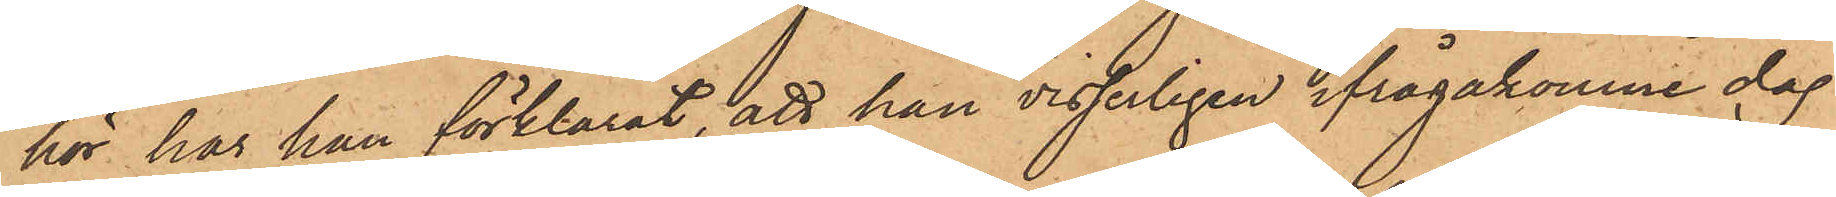hör har han förklarat, att han visserligen ifrågakomne dag
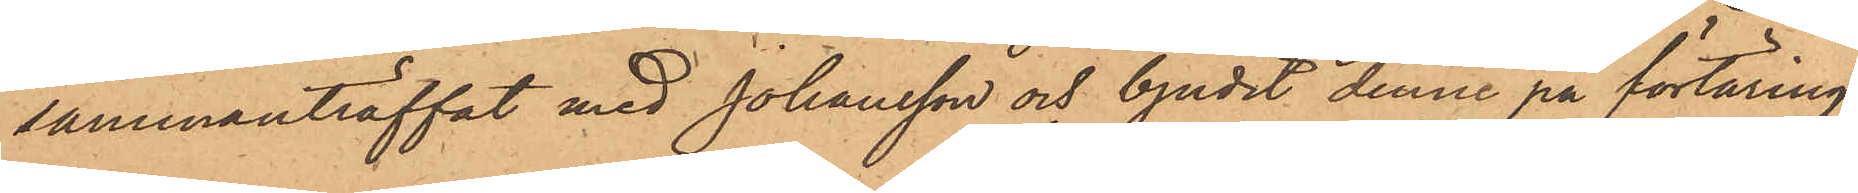sammanträffat med Johansson och bjudit denne på förtäring
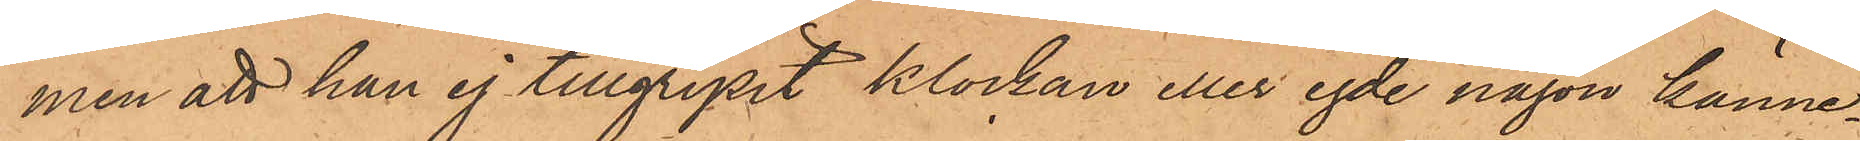men att han ej tillgripit klockan eller egde någon känne¬
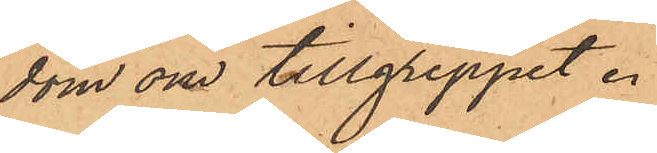dom om tillgreppet.
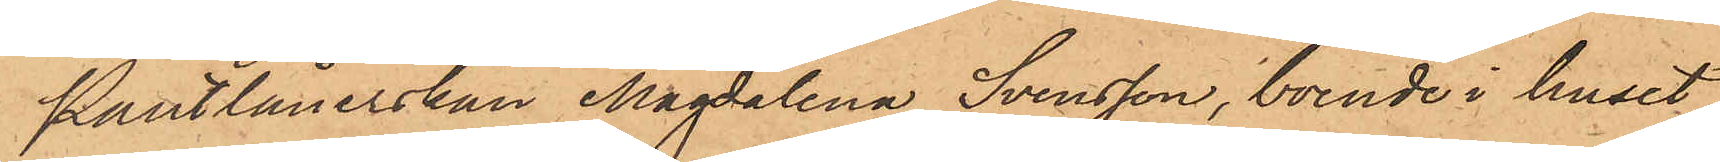Pantlånerskan Magdalena Svensson, boende i huset
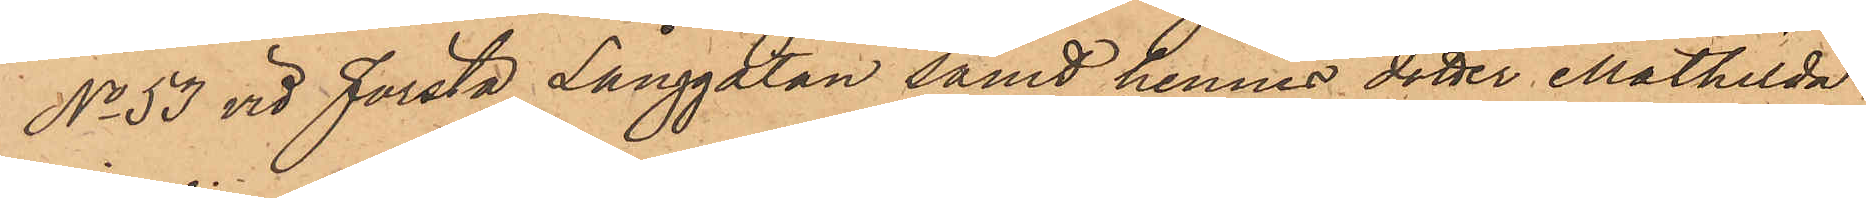No 53 vid Första Långgatan samt hennes dotter Mathilda
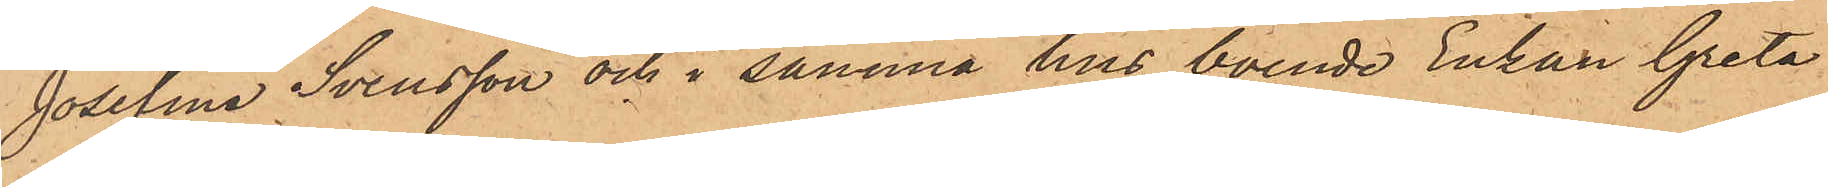Josefina Svensson och i samma hus boende Enkan Greta
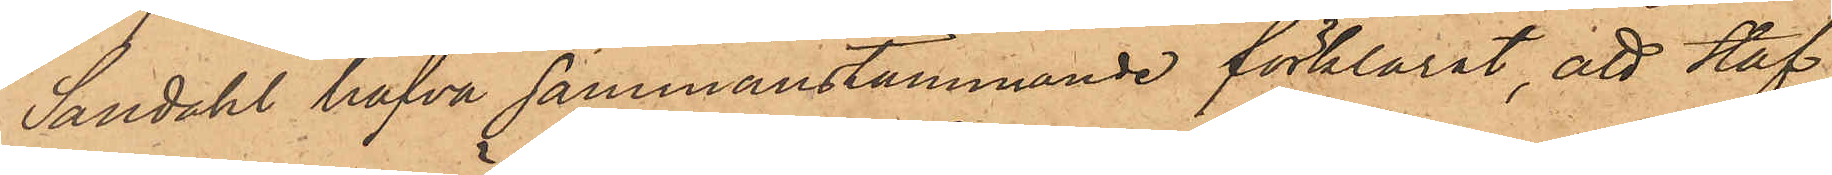Sandahl hafva sammanstämmande förklarat, att Staf,
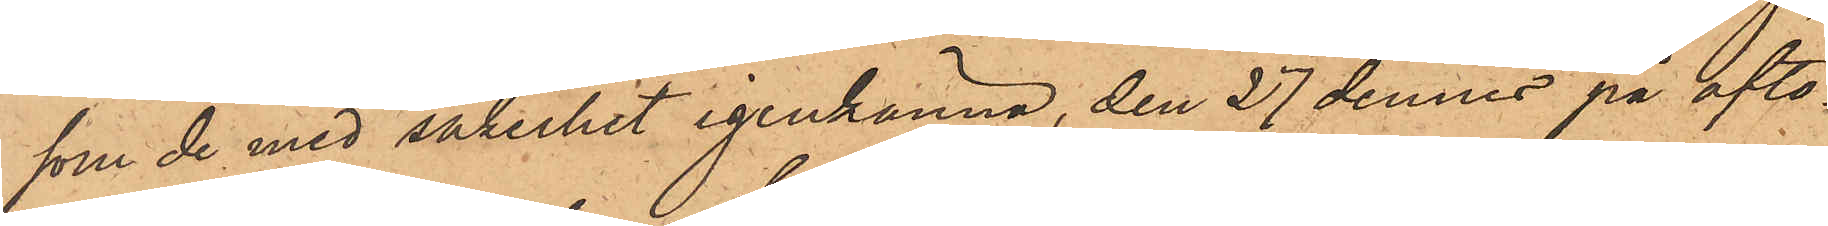som de med säkerhet igenkänna, den 27 dennes på afto¬
